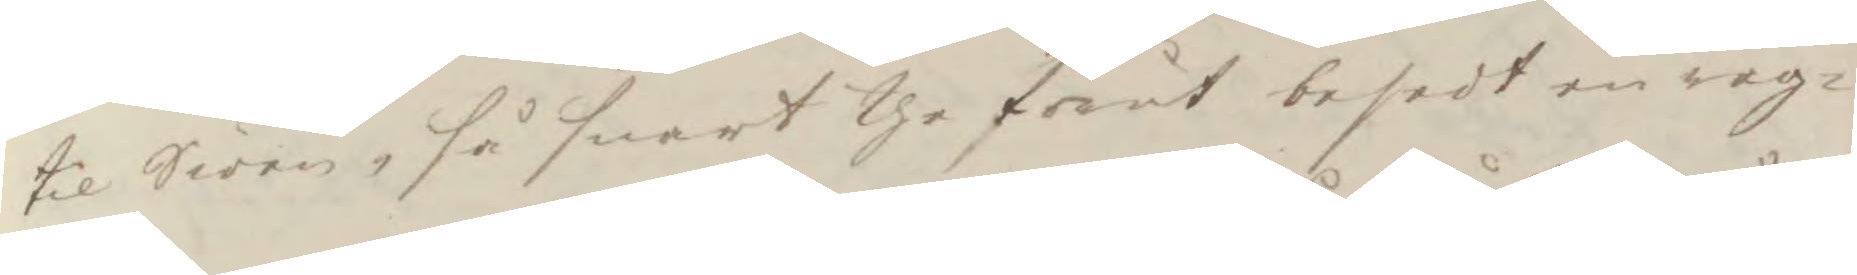til Siöen, så snart the förut besedt en råg¬
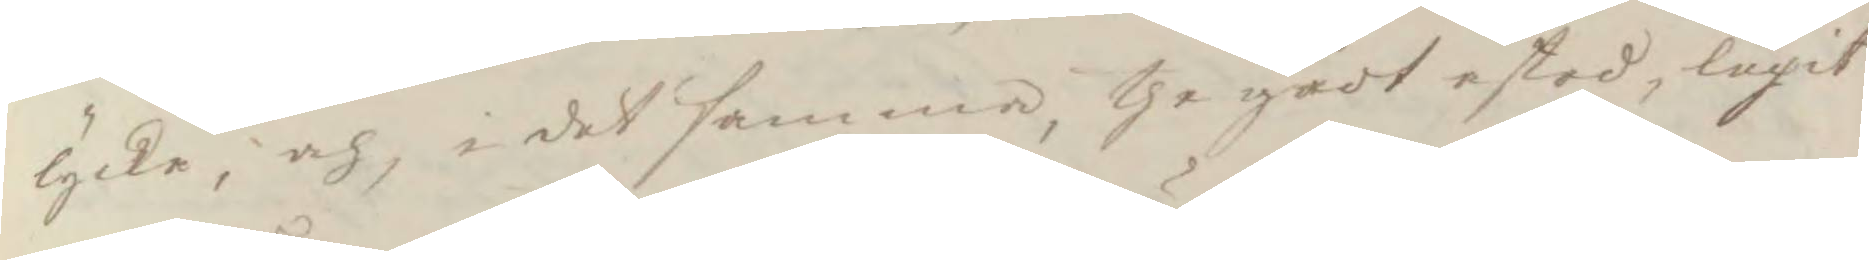lycke, och i det samma, the gådt åstad, lugit
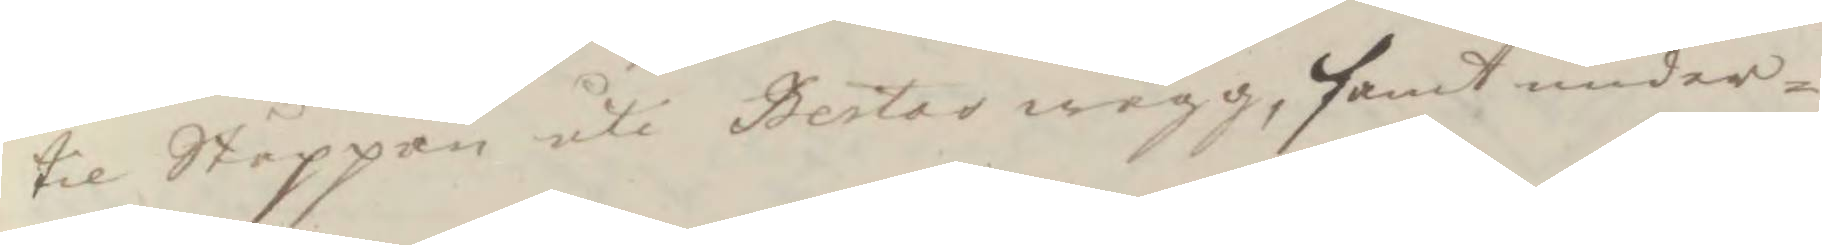til Ståppan uti Bertas wägg, samt under¬
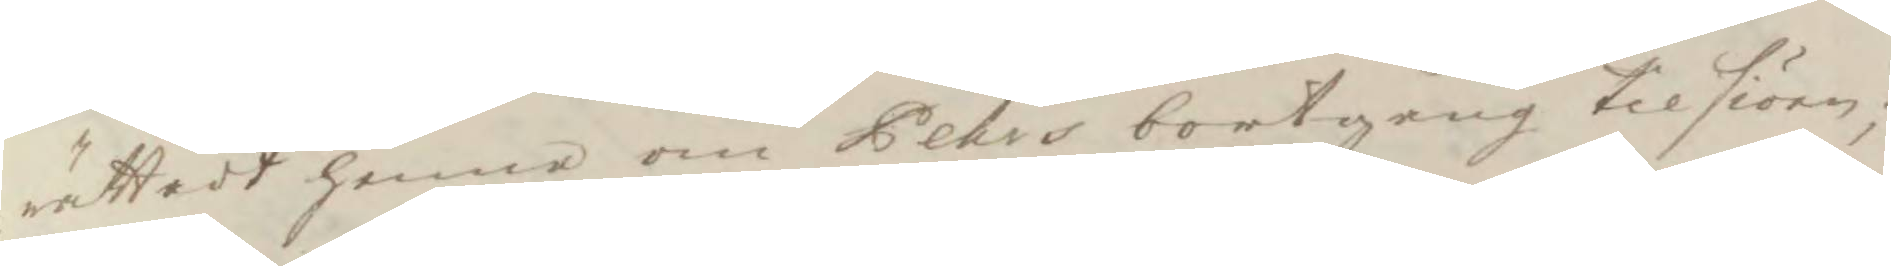rättadt henne om Pehrs bortgång til siöen;
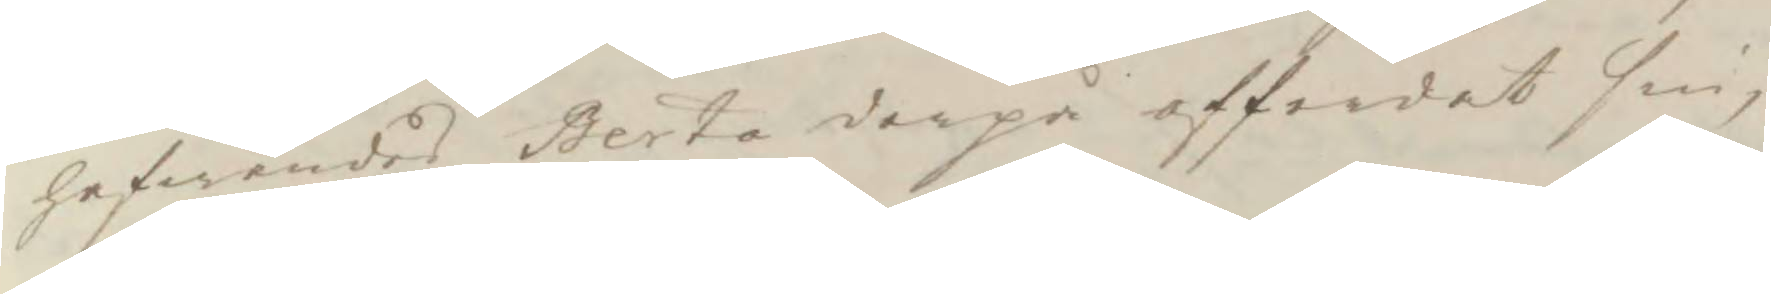hafwandes Berta derpå afferdat sin,
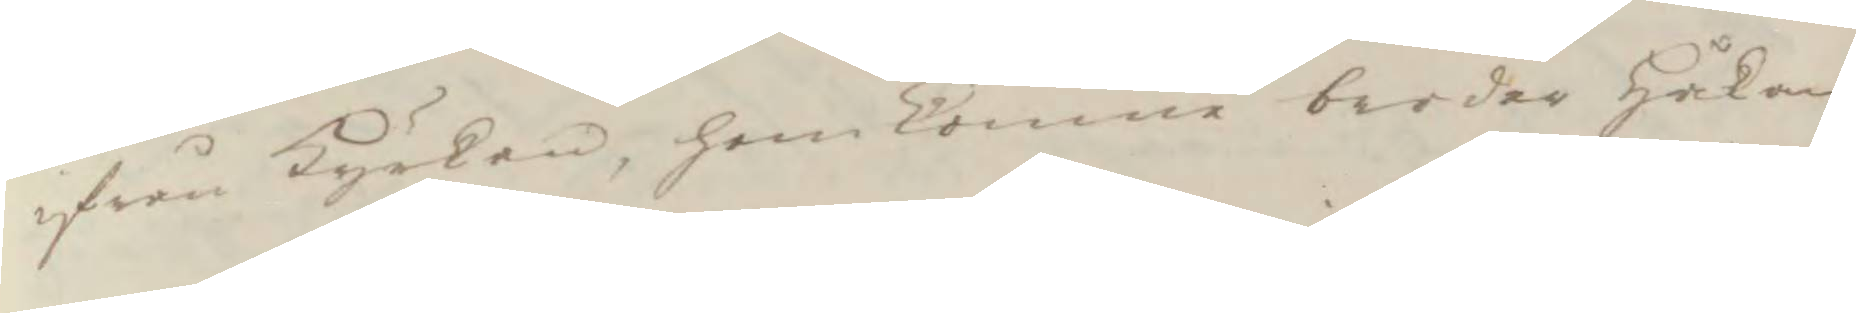ifrån Kyrkan, hem komne broder Håkan
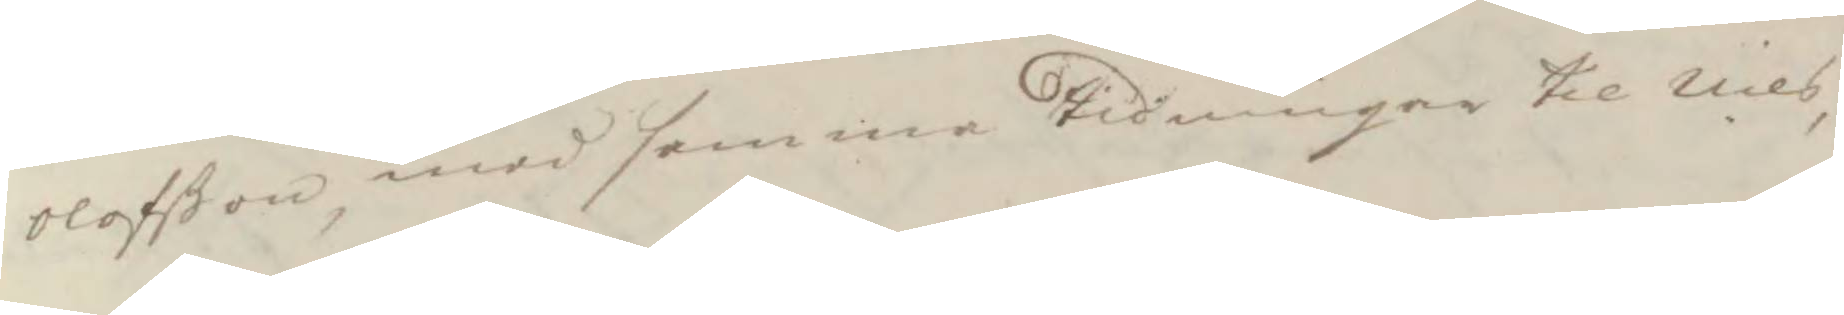Olofßon med samma tidningar til Nils,
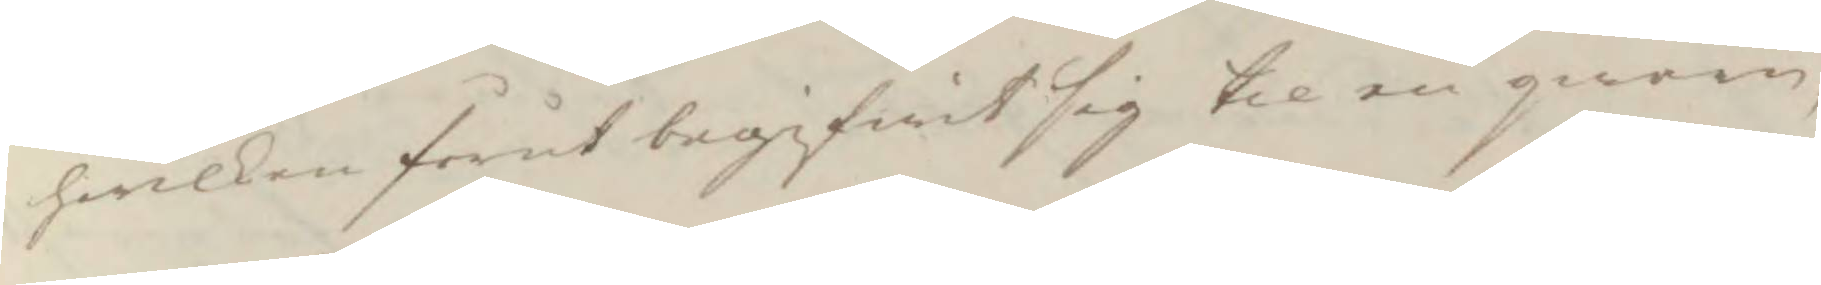hwilken förut begifwit sig til en gwarn,
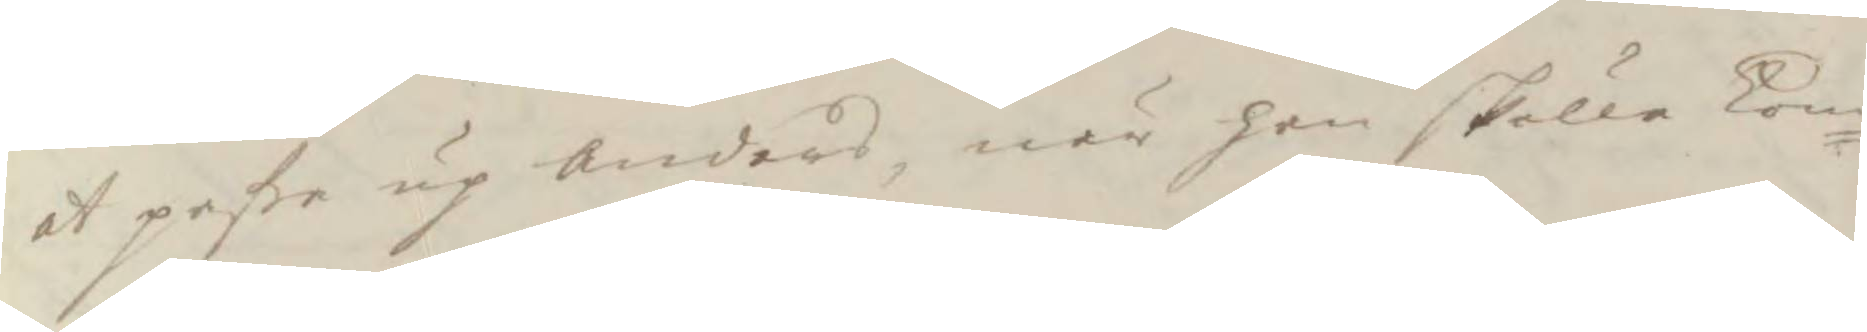at paße up Anders, när han skulle kom¬
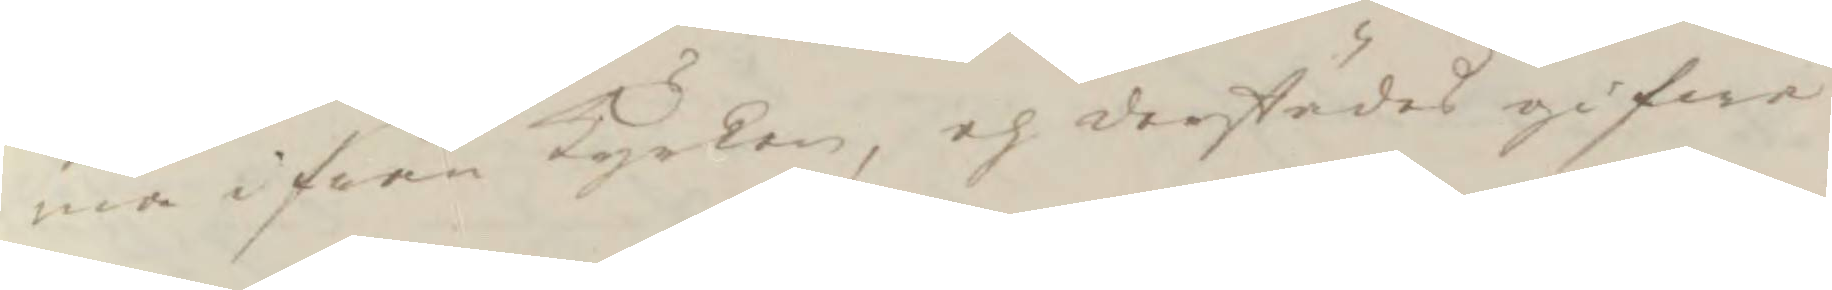ma ifrån Kyrkan, och derstädes gifwa
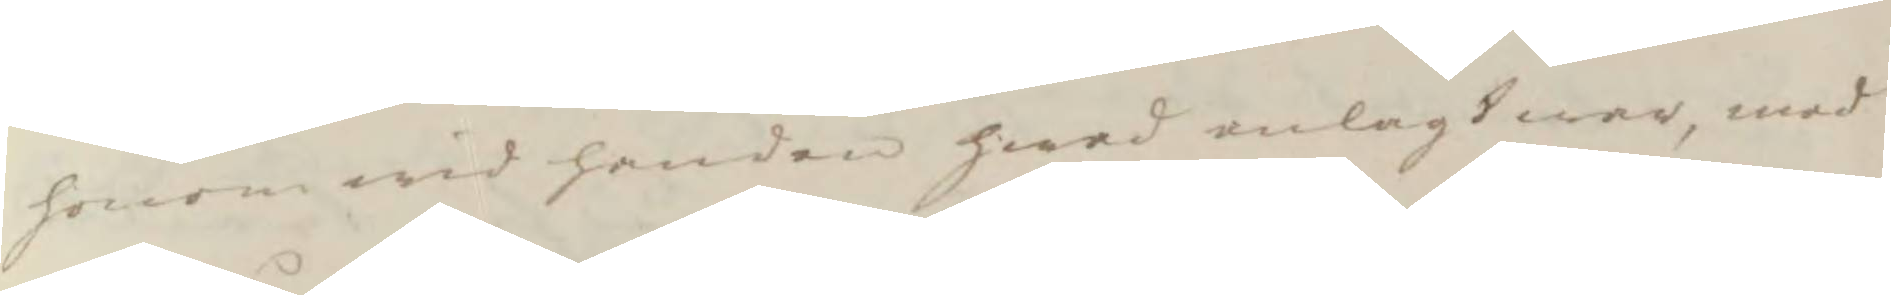honom wid handen hwad anlagt war, med
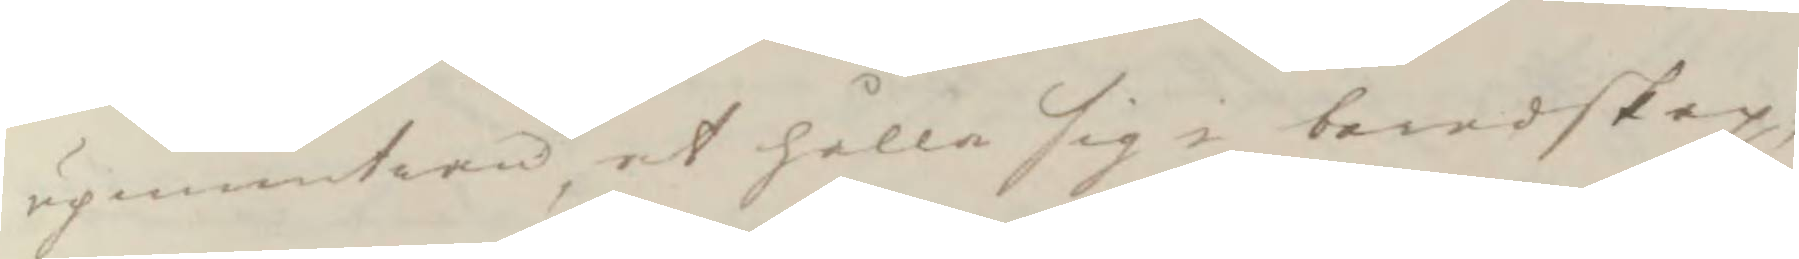upmuntran, at hålla sig i beredskap,
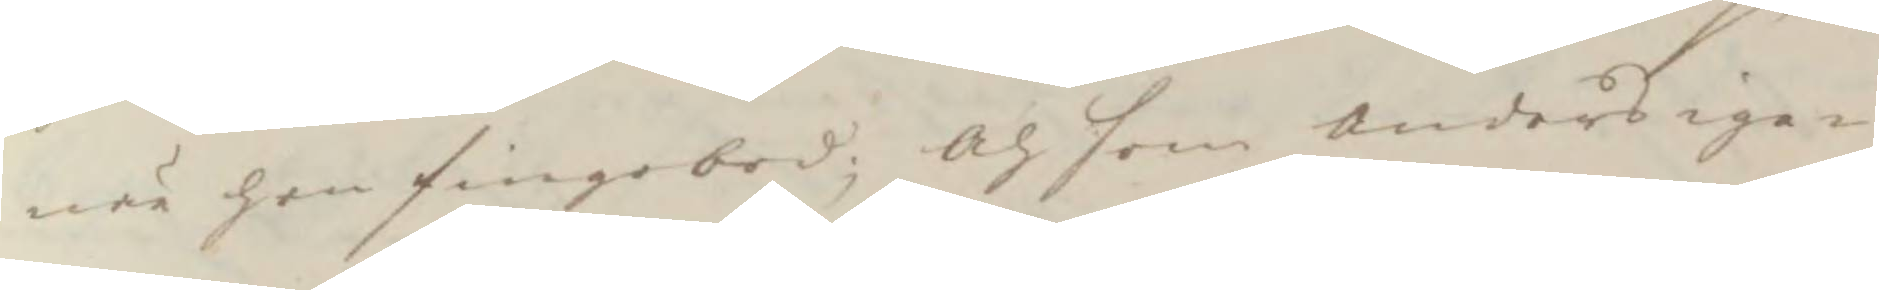när hon finge bod; Och som Anders ige¬
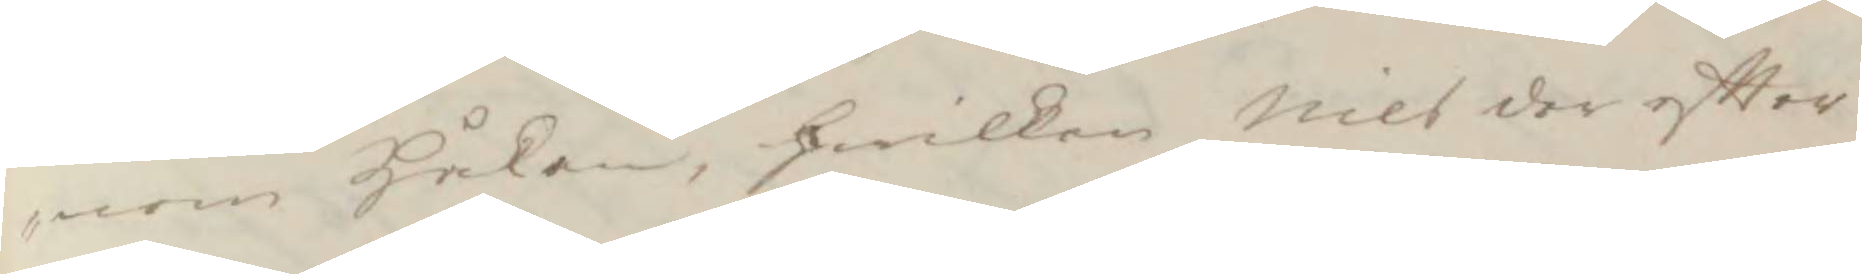nom Håkan, Hwilken Nils der eftter
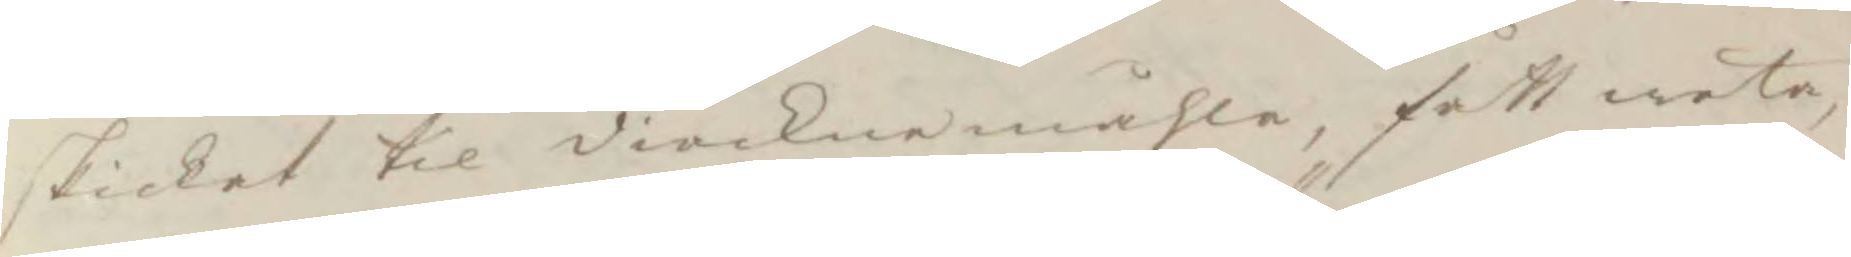skickat til diöcknemåhla, fått weta,
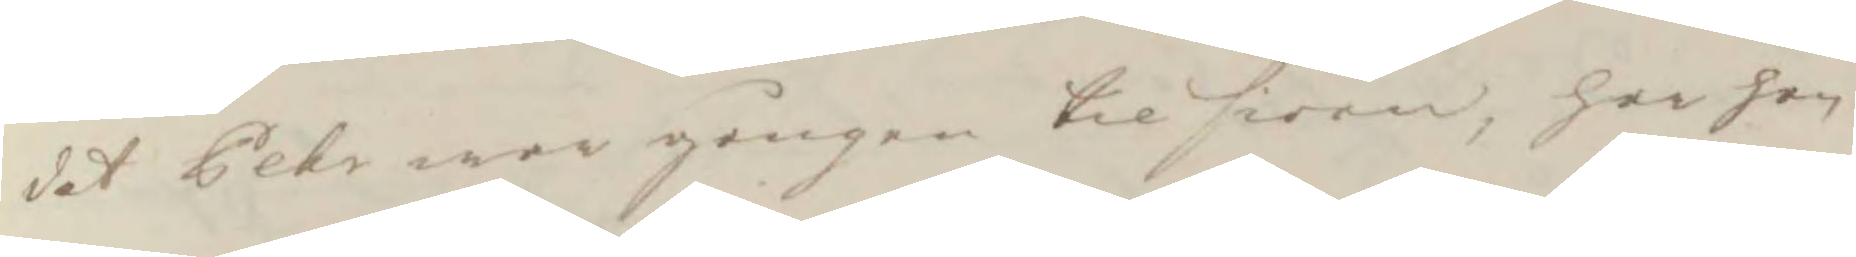det Pehr war gången til siöen, har han
